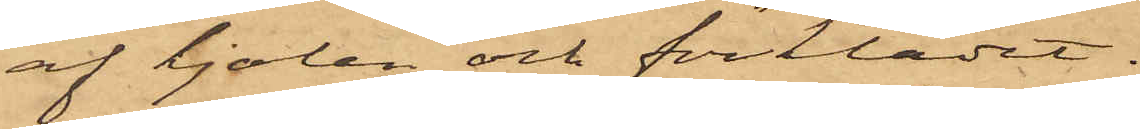af kjolen och förklädet.
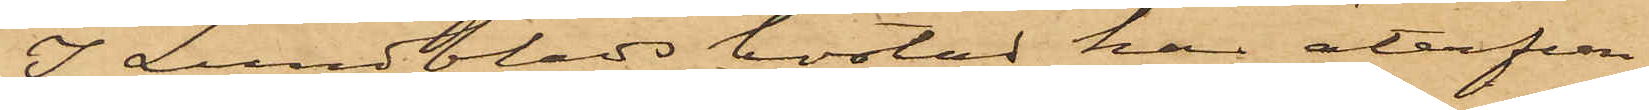I Lundblads bostad har återfun¬
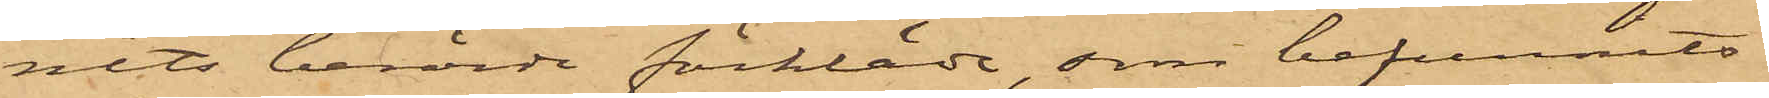nits berörde förkläde, som befunnits
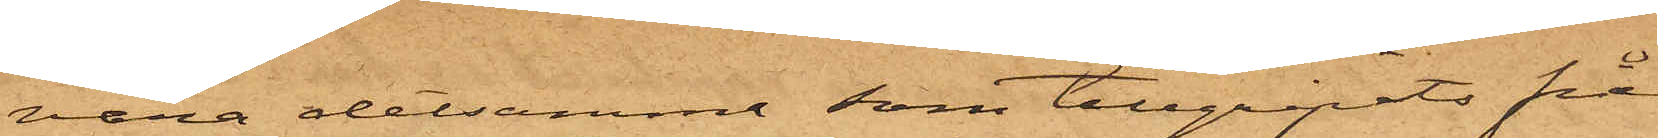vara detsamme som tillgripits från
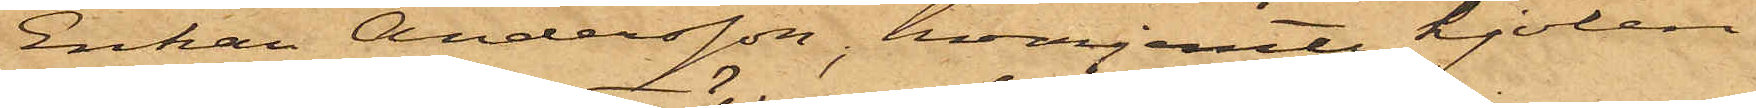Enkan Andersson, hvarjemte kjolen
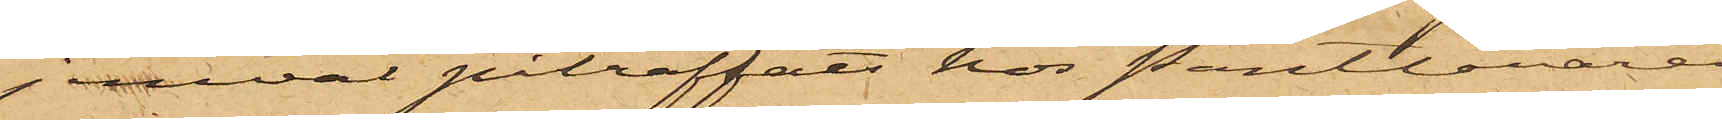jemväl påträffats hos Pantlånaren
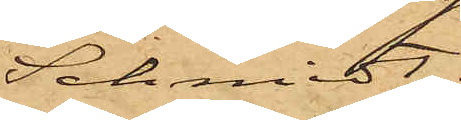Schmidt.
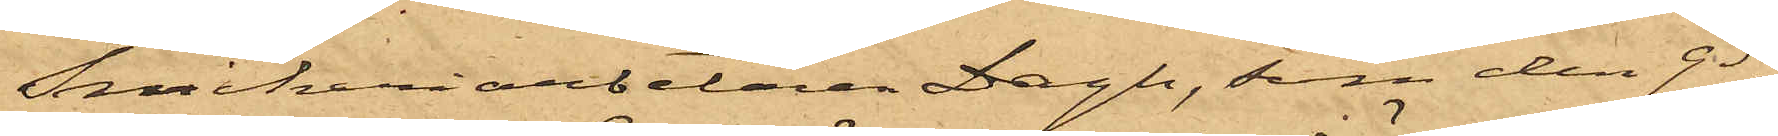Snickeriarbetaren Dagh, som den 9 ds
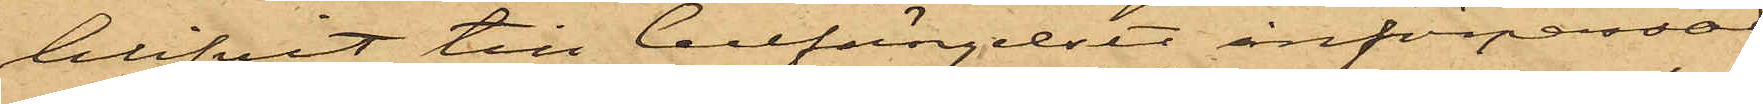blifvit till Cellfängelset införpassad
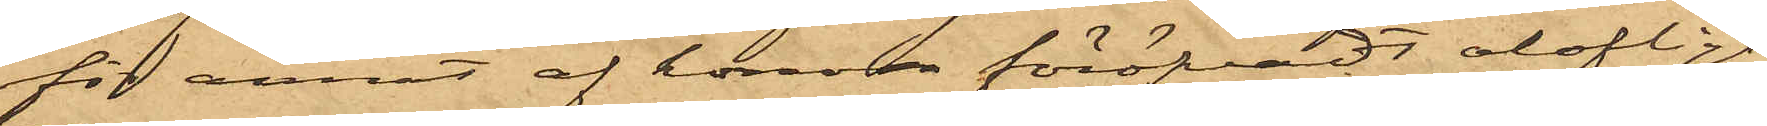för annat af honom föröfvadt olofligt
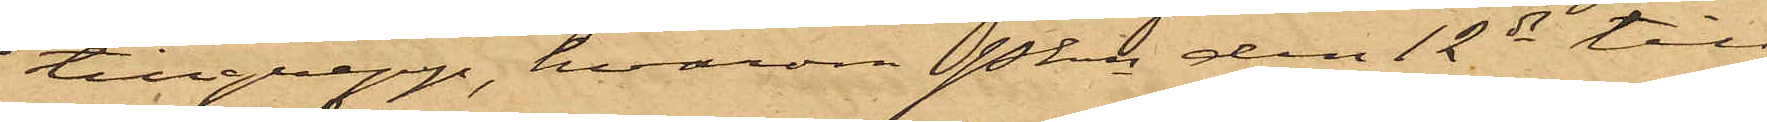tillgrepp, hvarom Pkn den 12ds till
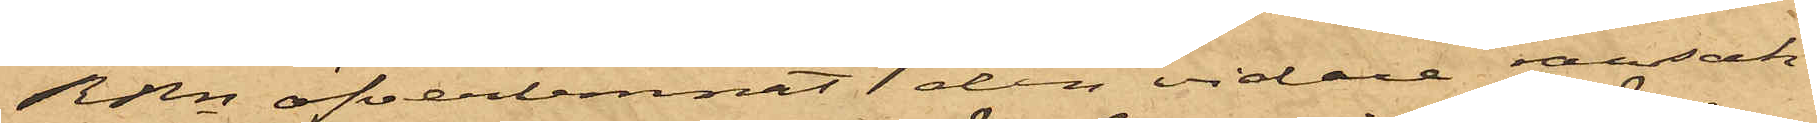RRn öfverlemnat den vidare ransak¬
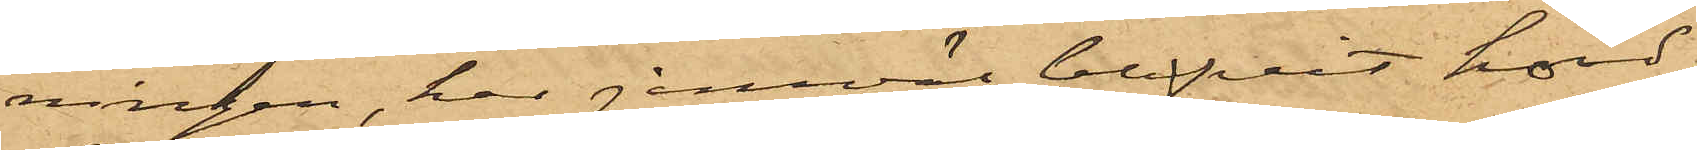ningen, har jemväl blifvit hörd,
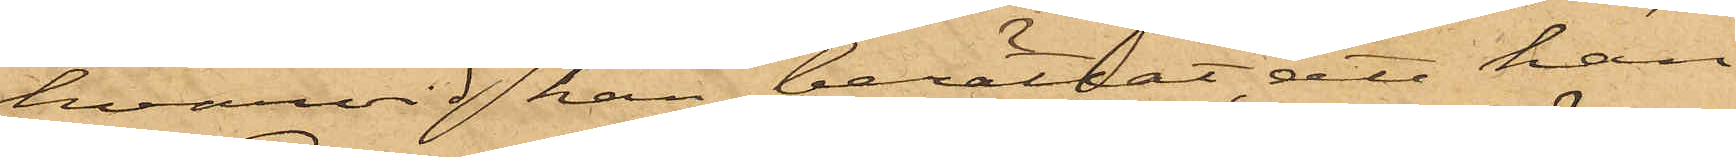hvarvid han berättat, att han
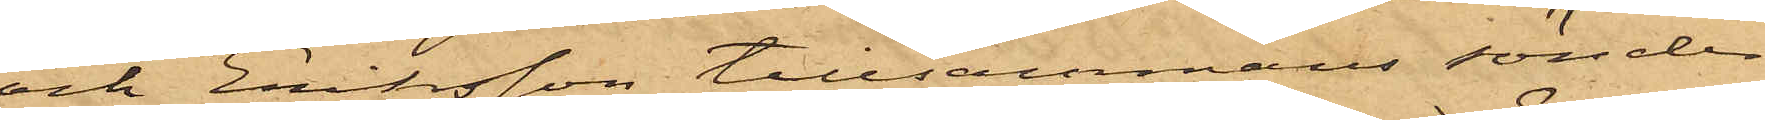och Eriksson tillsammans sönder¬
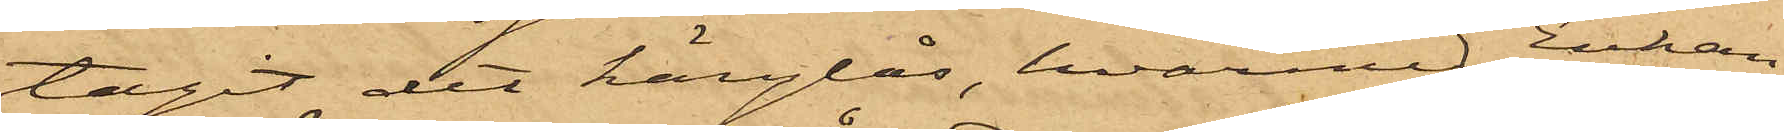tagit det hänglås, hvarmed Enkans
